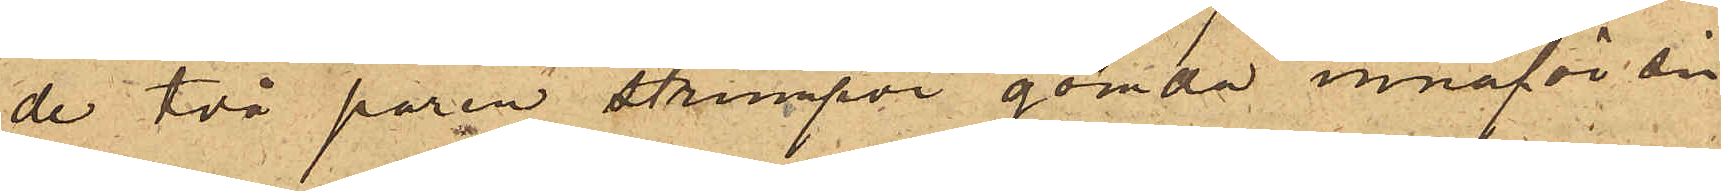de två paren strumpor gömda innanför sin
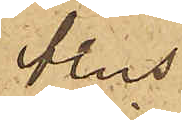blus.
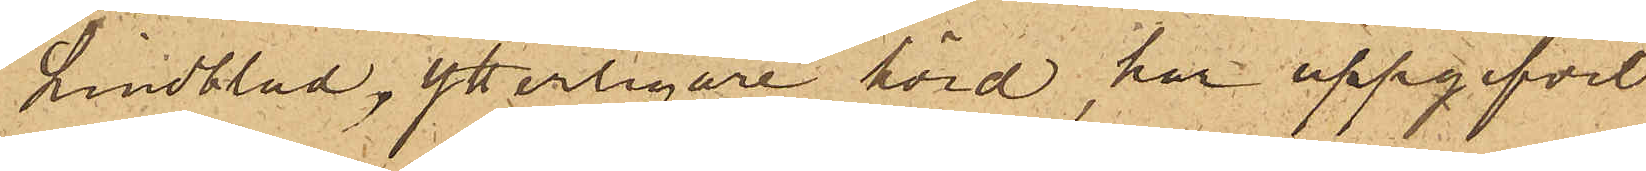Lindblad, ytterligare hörd, har uppgifvit
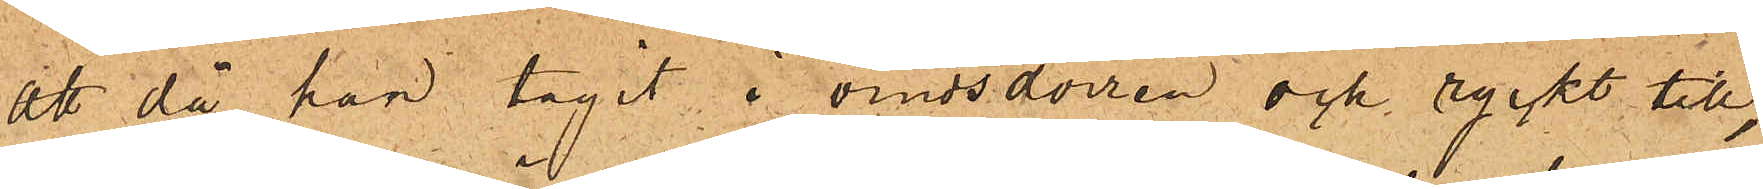att då han tagit i vindsdörren och ryckt till,
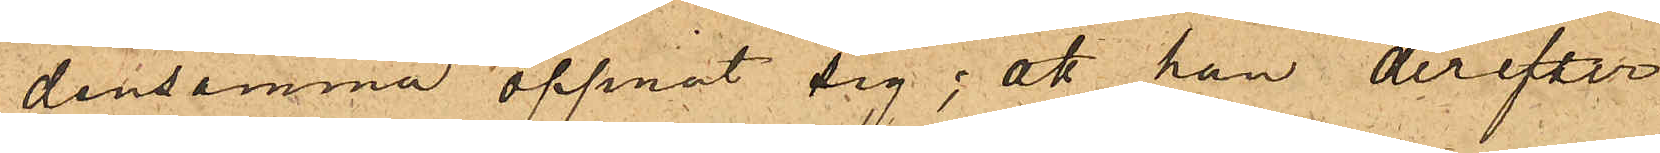densamma öppnat sig; att han derefter
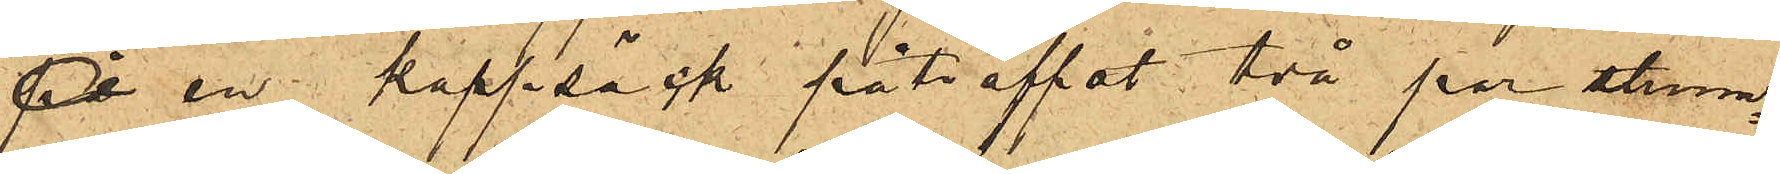på en  kappsäck påträffat två par strum¬
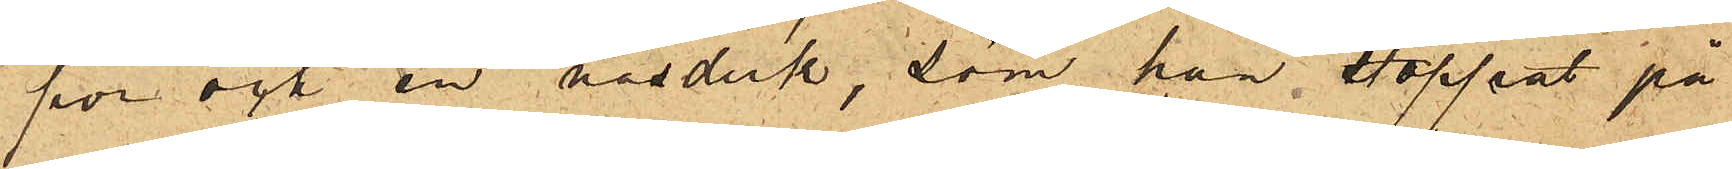por och en näsduk, som han stoppat på
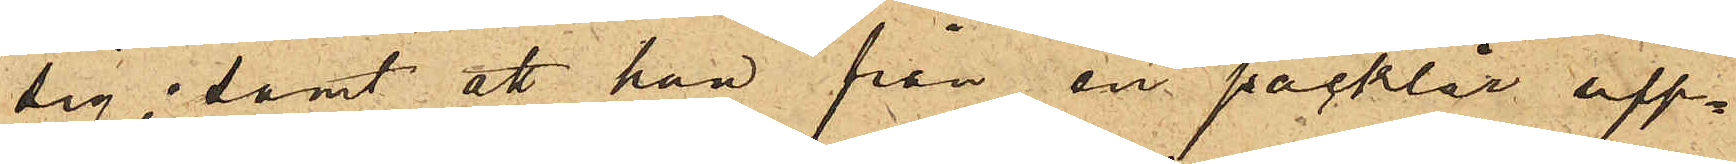sig; samt att han från en packlår upp¬
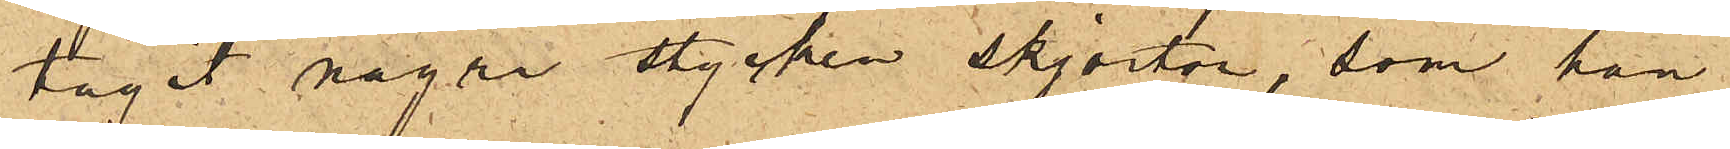tagit några stycken skjortor, som han
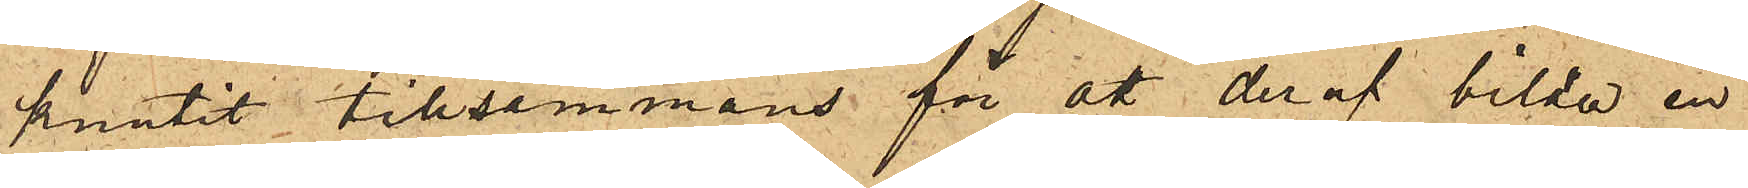knutit tillsammans för att deraf bilda en
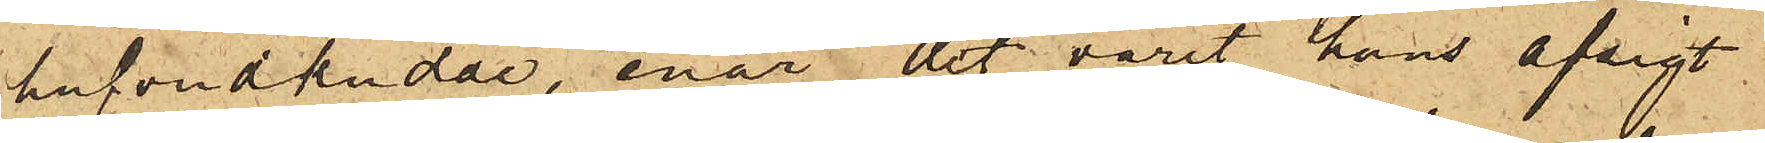hufvudkudde, enär det varit hans afsigt
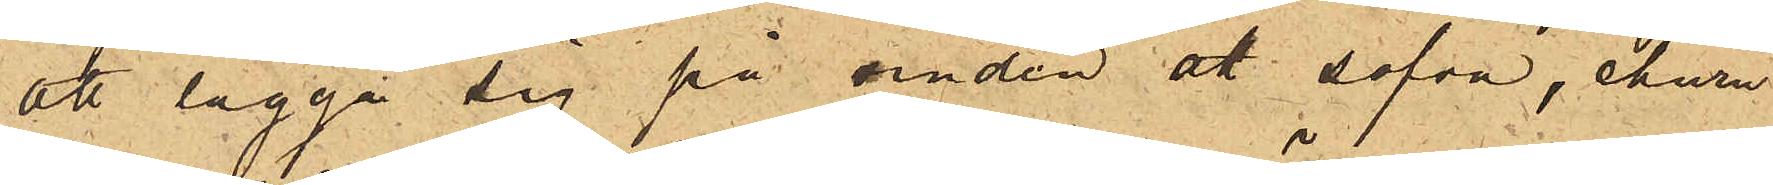att lägga sig på vinden att sofva, ehuru
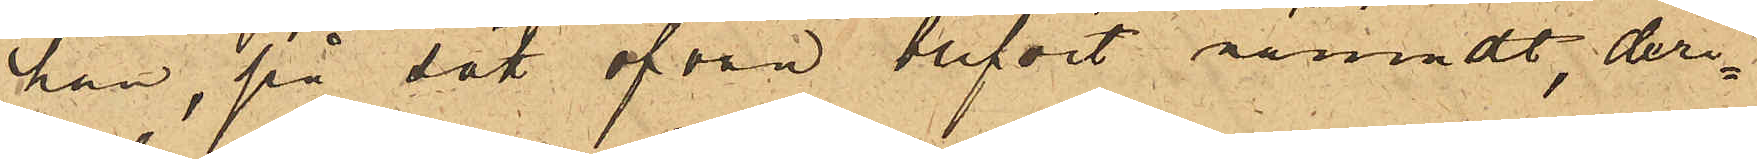han, på sätt ofvan blifvit  nämndt, deri¬
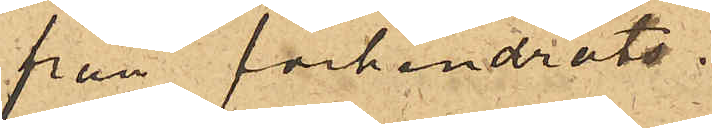från förhindrats.
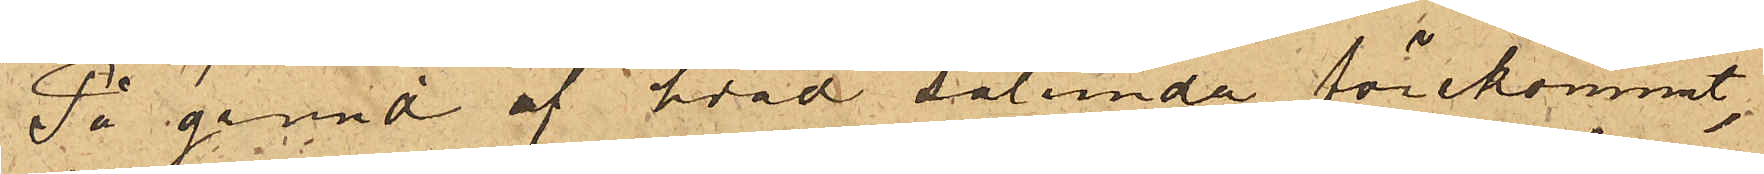På grund af hvad sålunda förekommt,
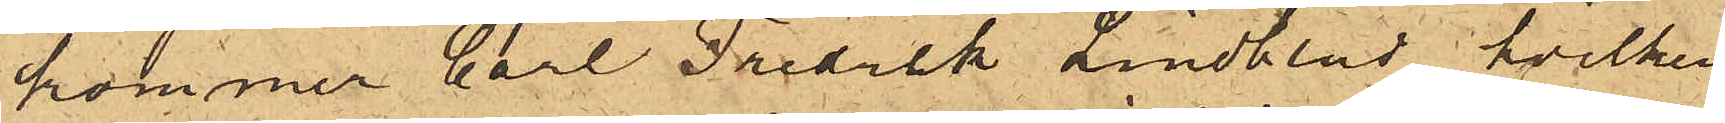kommer Carl Fredrik Lindblad, hvilken
